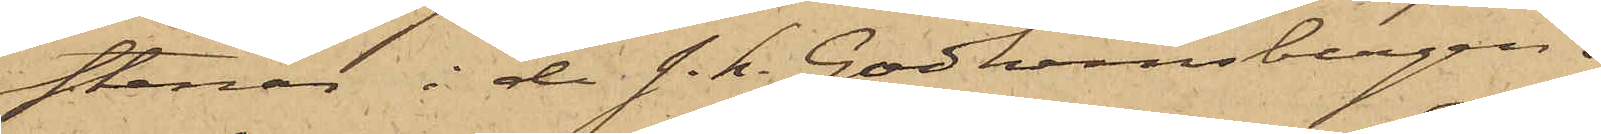stenar i de s. k. Godhemsbergen.
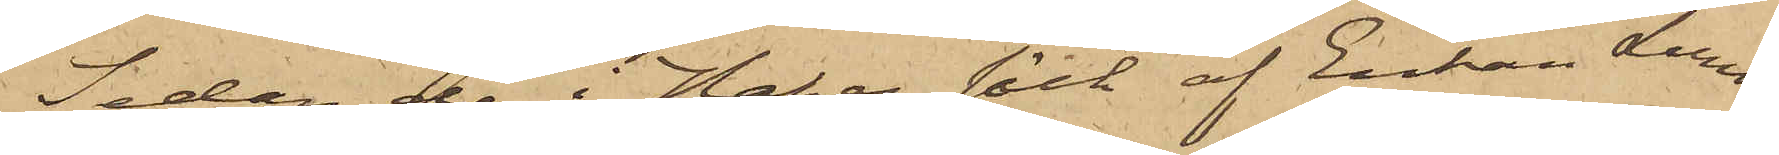Sedan de i Hakes säck af Enkan Lund¬
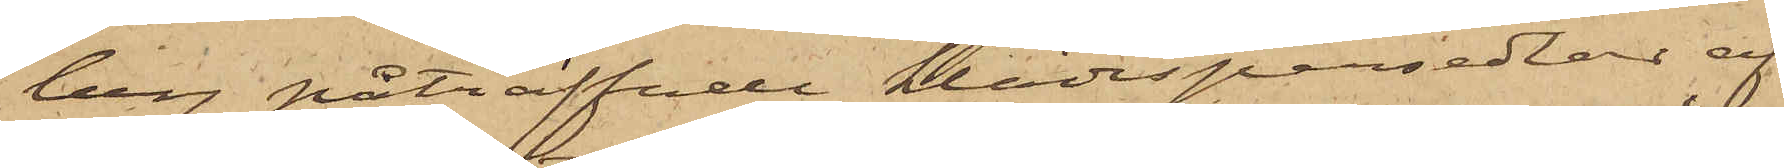berg påträffade klädespersedlar af
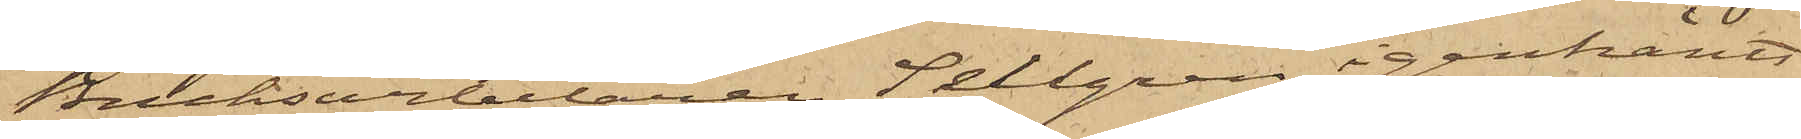Bruksarbetaren Sellgren igenkänts
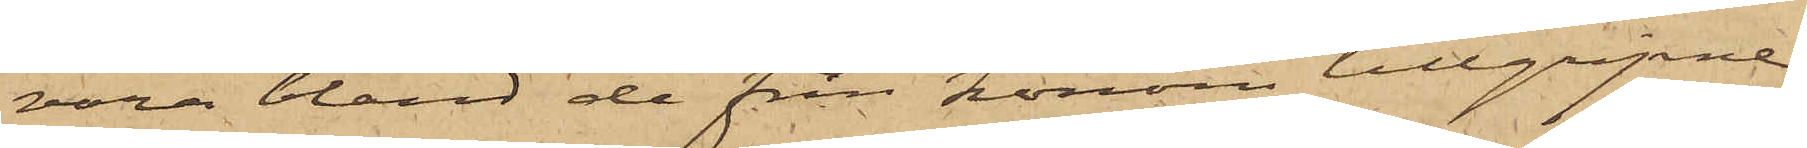vara bland de från honom tillgripne,
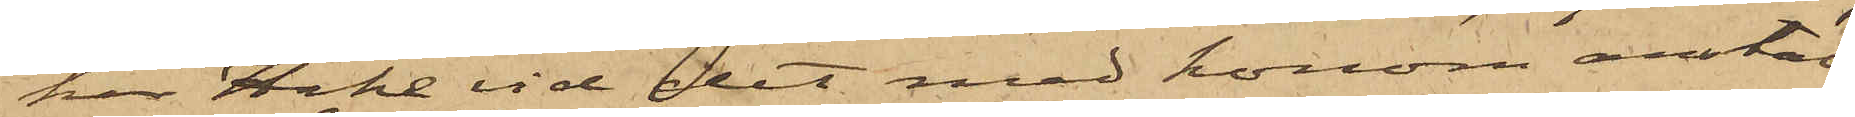har Hake vid det med honom anstäl¬
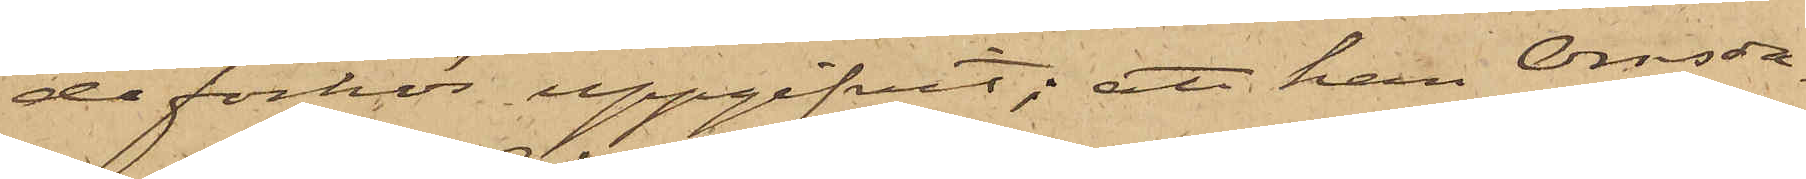de förhör uppgifvit; att han Onsda¬
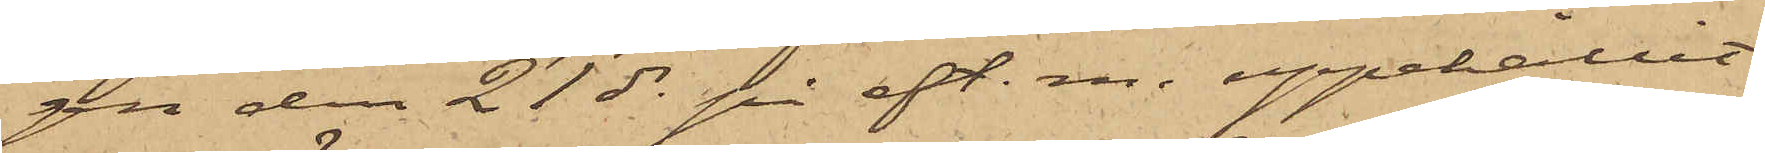gen den 21 ds på eft. m. uppehållit
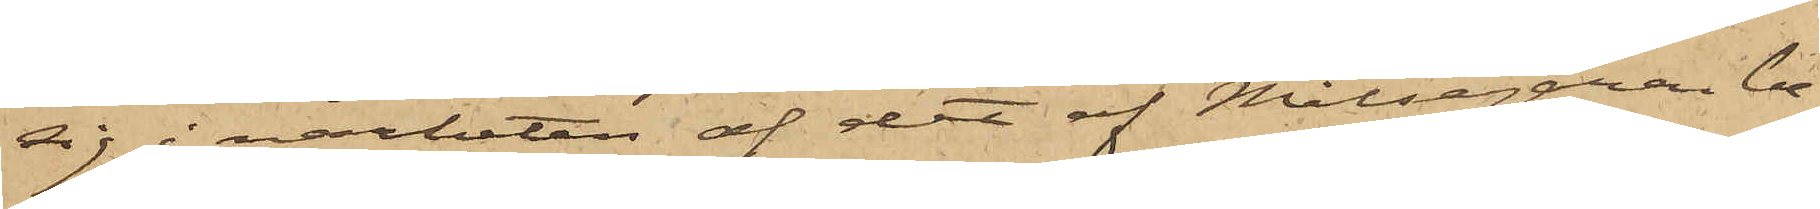sig i närheten af det af Målsegaren be¬
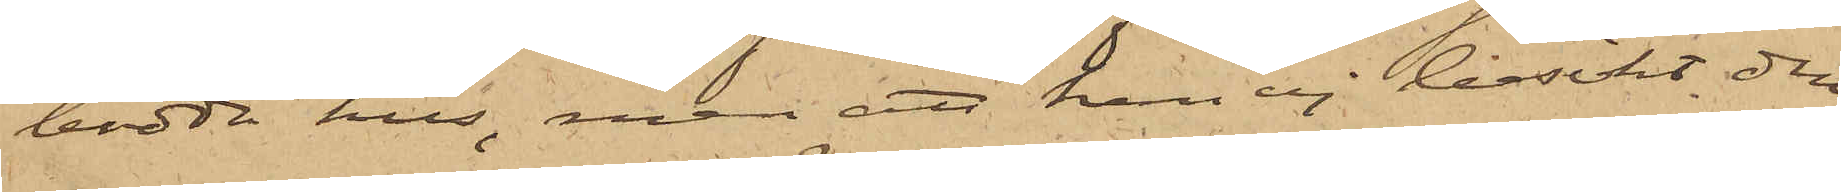bodda hus, men att han ej besökt den
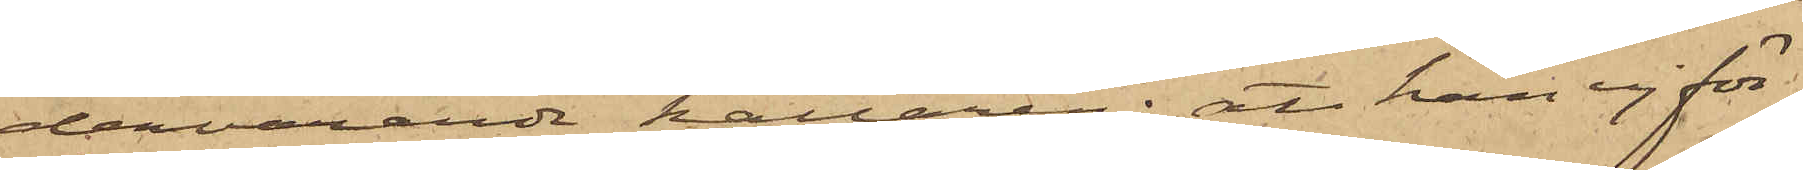dervarande källaren; att han ej för¬
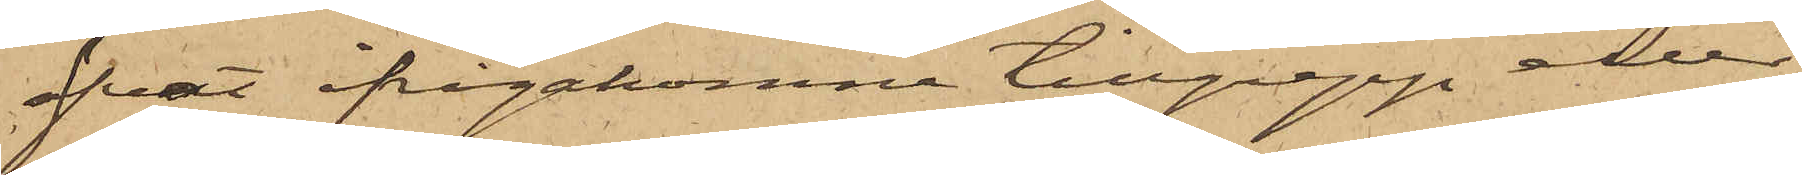öfvat ifrågakomne tillgrepp eller
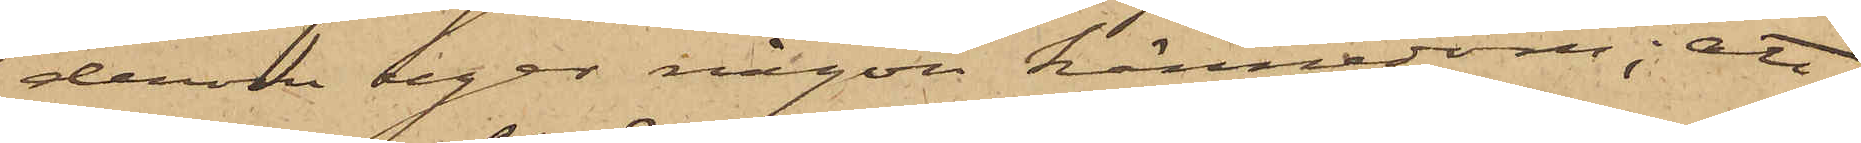derom eger någon kännedom; att
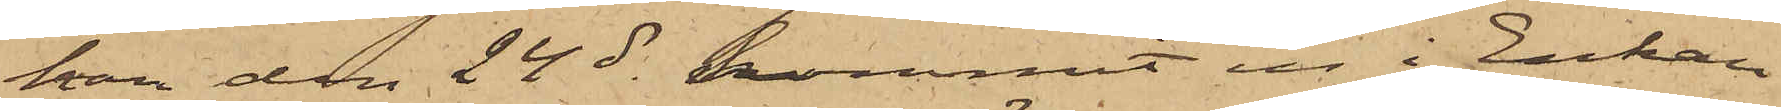han den 24 ds kommit in i Enkan
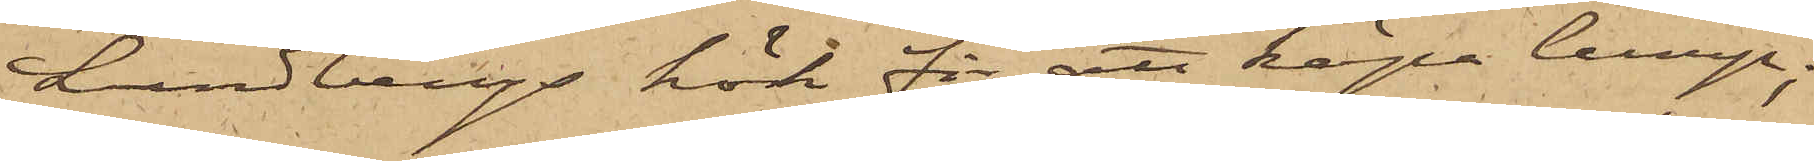Lundbergs kök för att köpa lump;
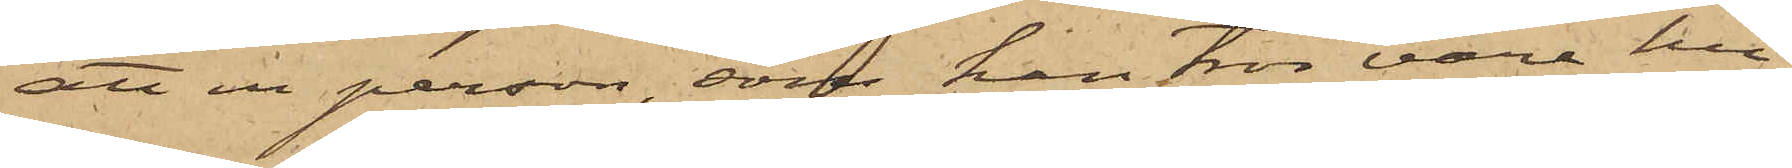att en person, som han tror vara hu¬
